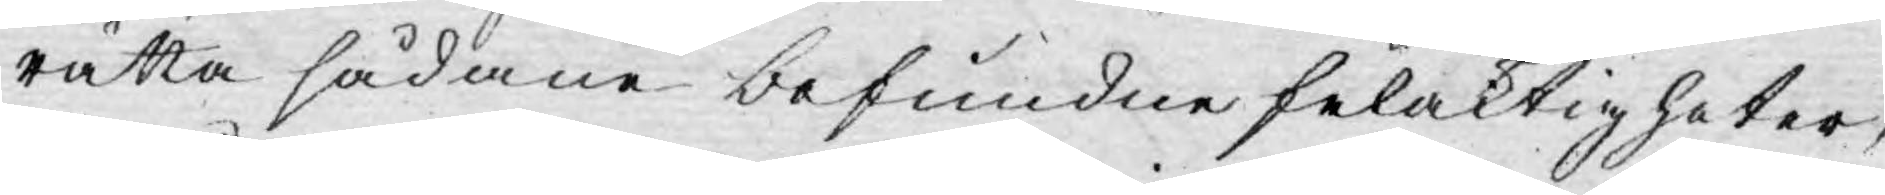rätta sådane befundne felaktigheter,
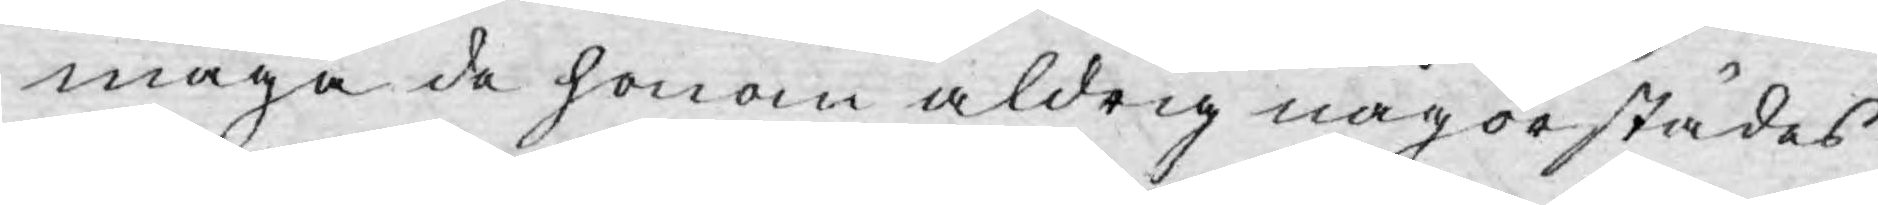måga de honom aldrig någorstädes
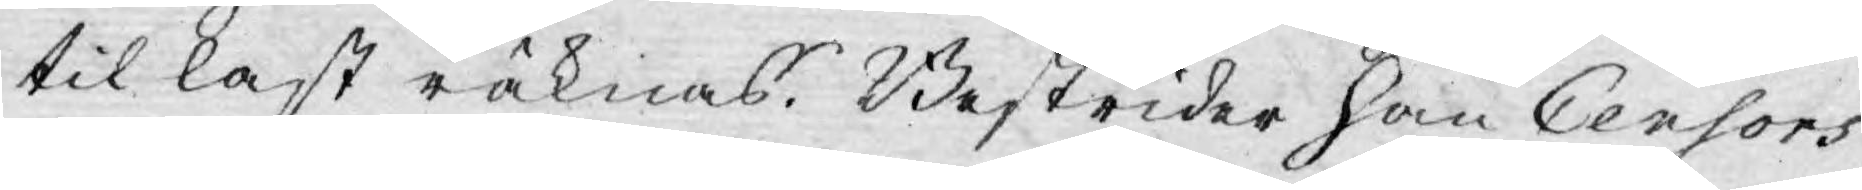til last räknas. Bestrider han Censors
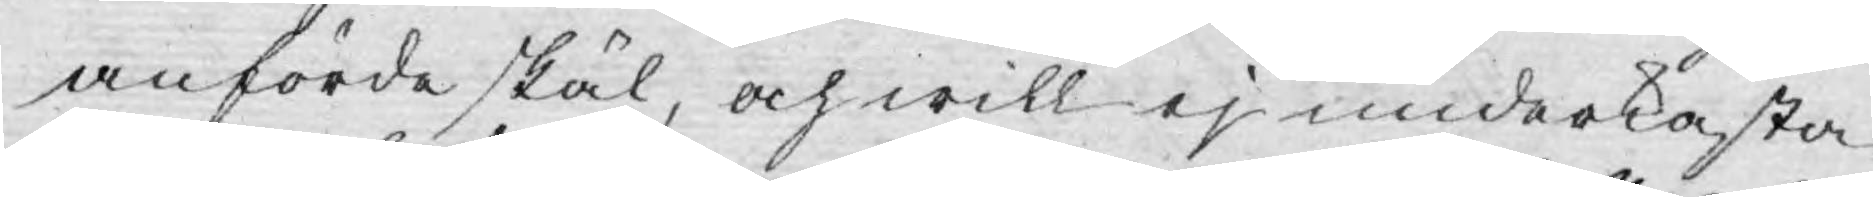anförde skäl, och will ej underkasta
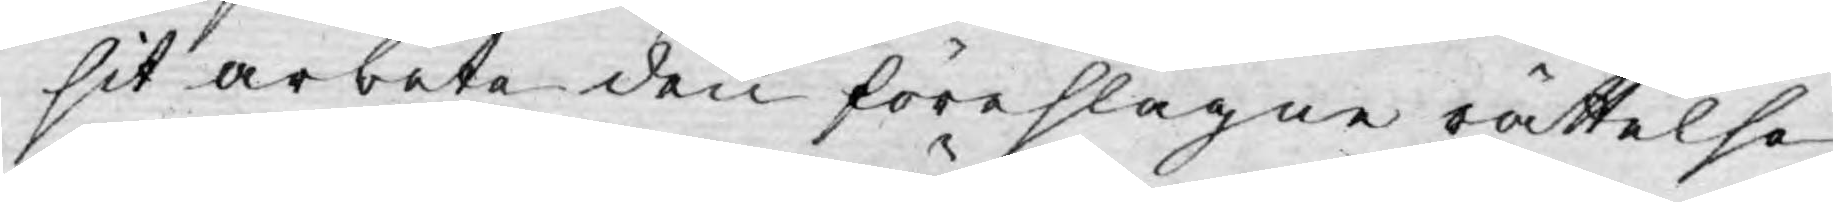sit arbete den föreslagne rättelse
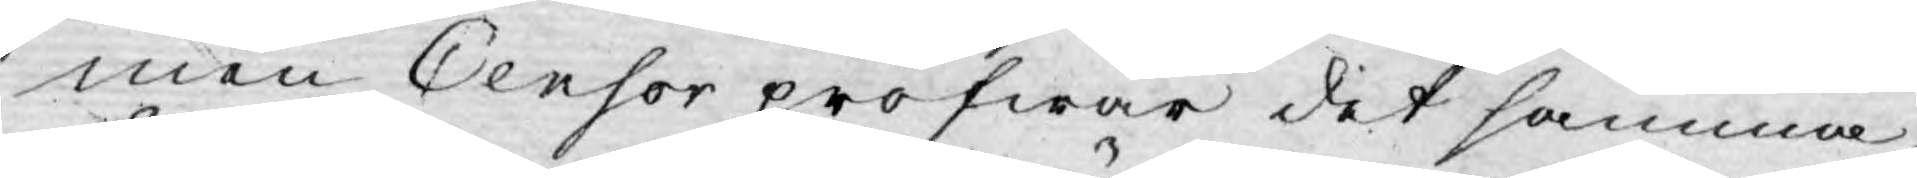men Censor pröfwar det samma
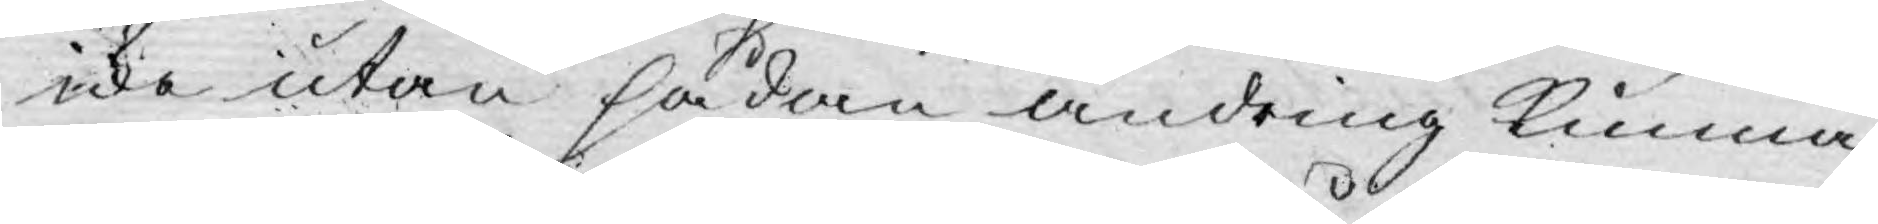icke utan sådan ändring kunna
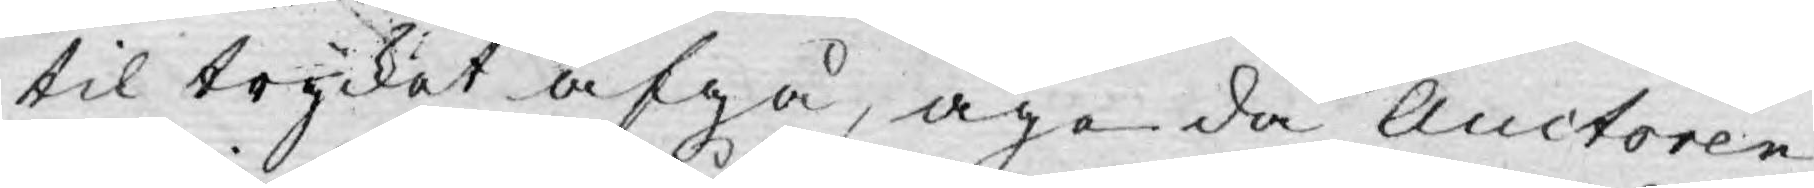til trycket afgå, ägo då Auctoren
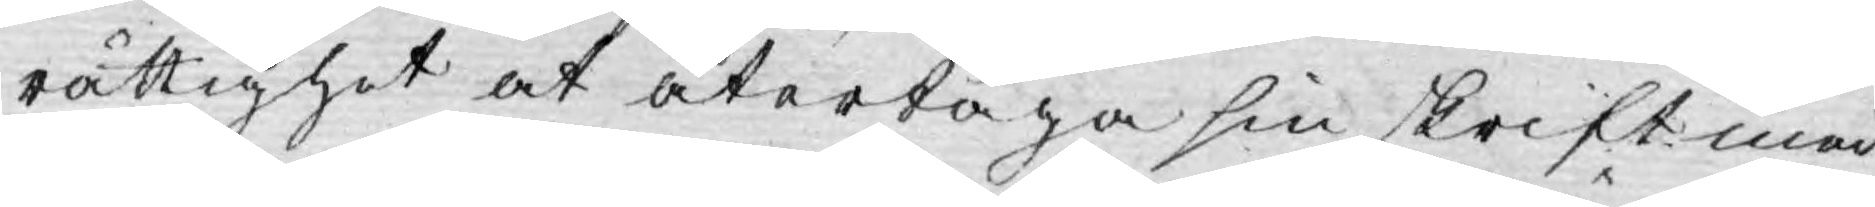rättighet at återtaga sin skrift med
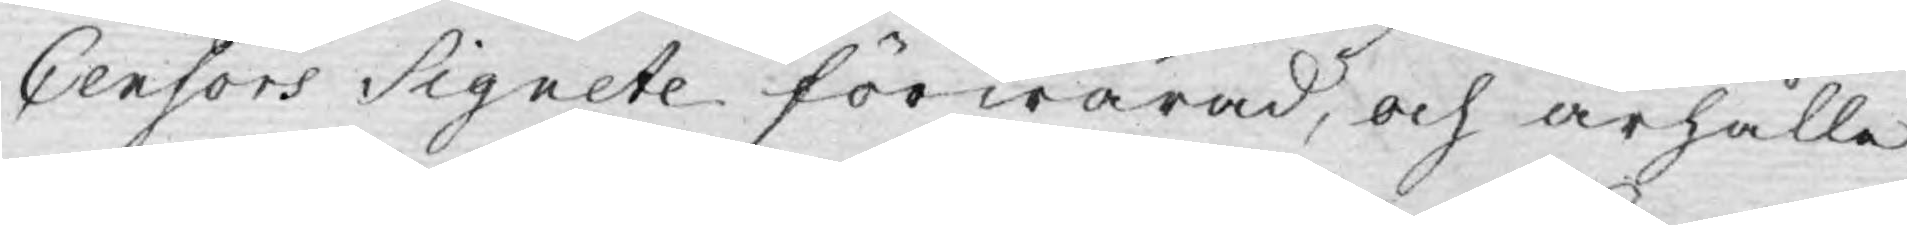Censors Signete förwarad, och ärhålle
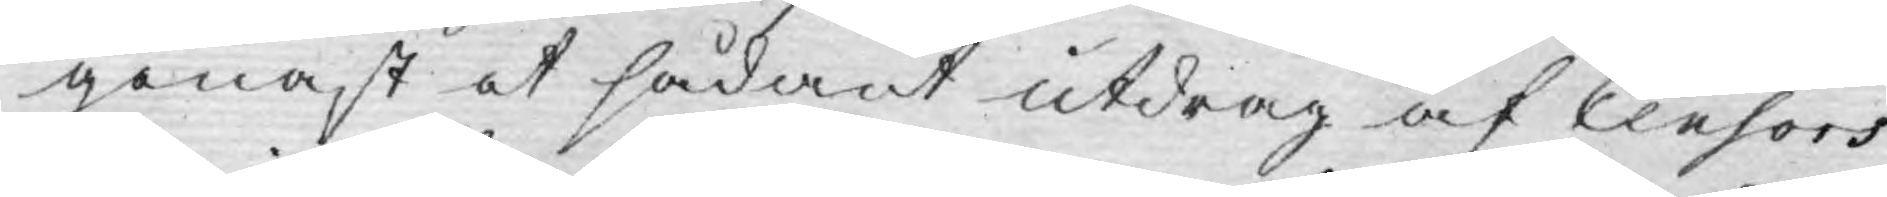genast et sådant utdrag af Censors
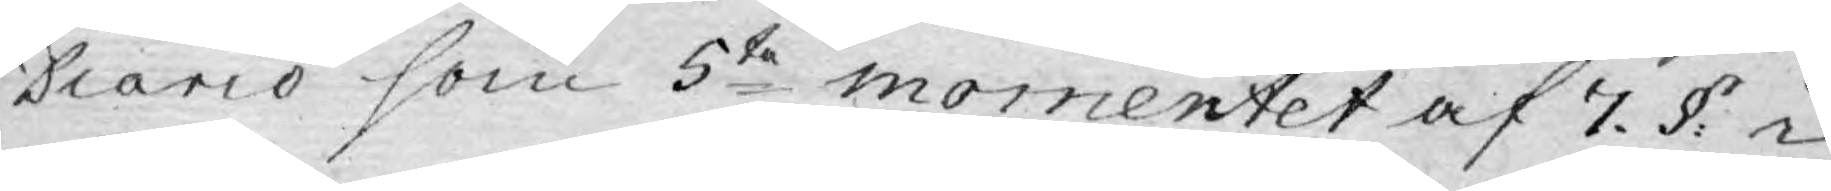Diario som 5te momentet af 7. §: i
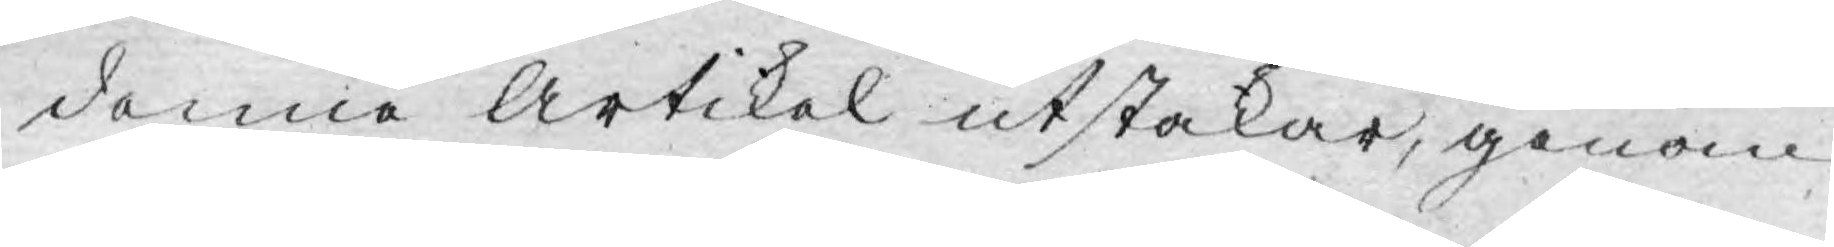denna Artikel utstakar, genom
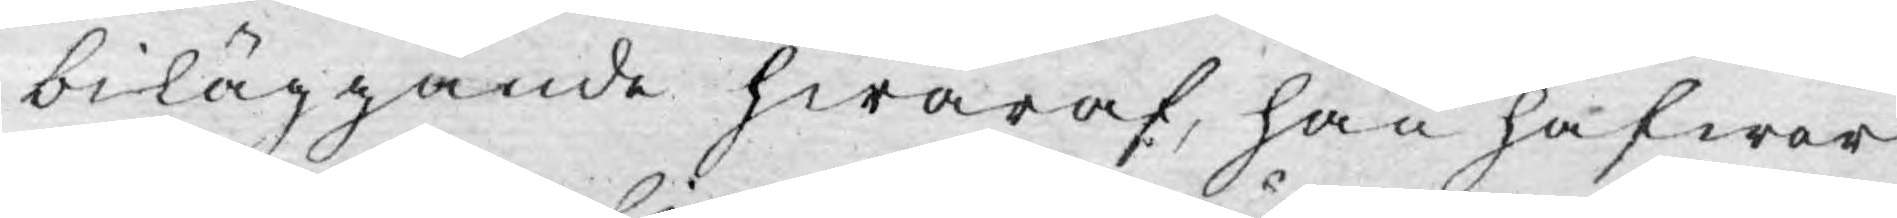biläggande hwaraf, han hafwer
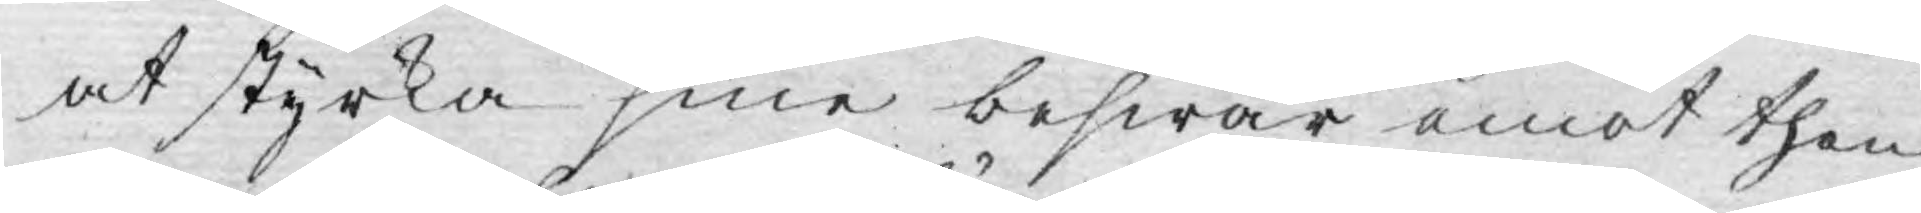at styrka sine beswär emot then
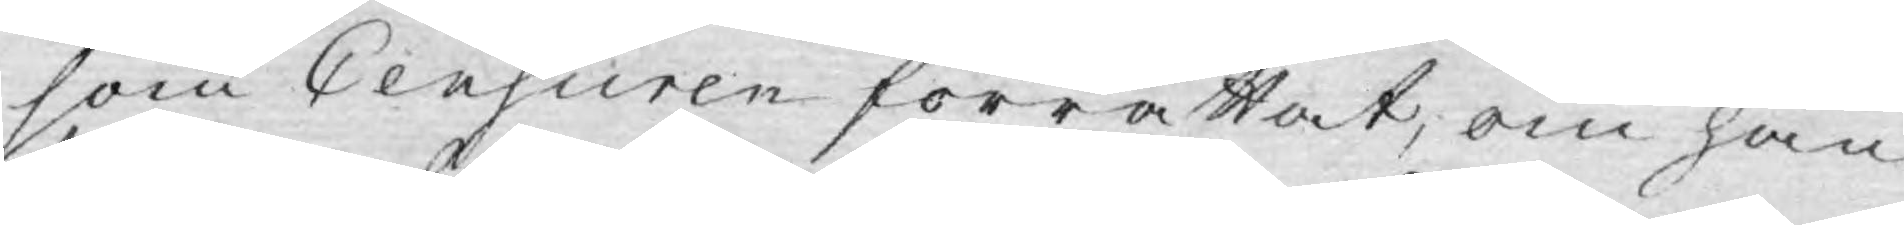som Censuren förrättat, om han
